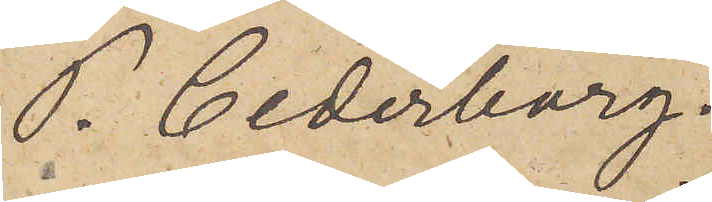P. Cederborg.
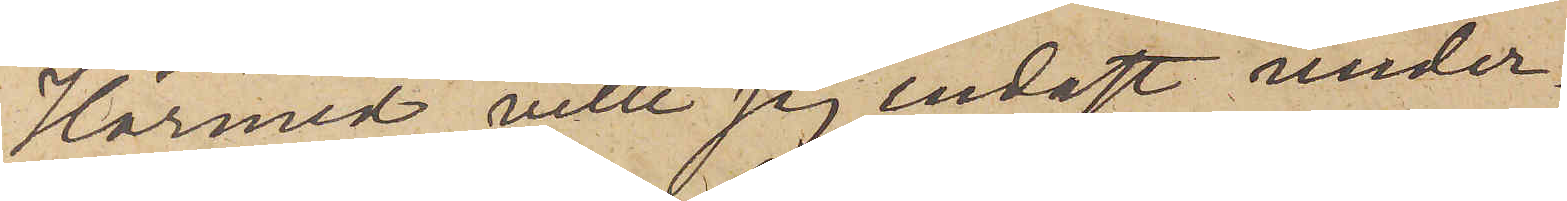Härmed ville jag endast under¬
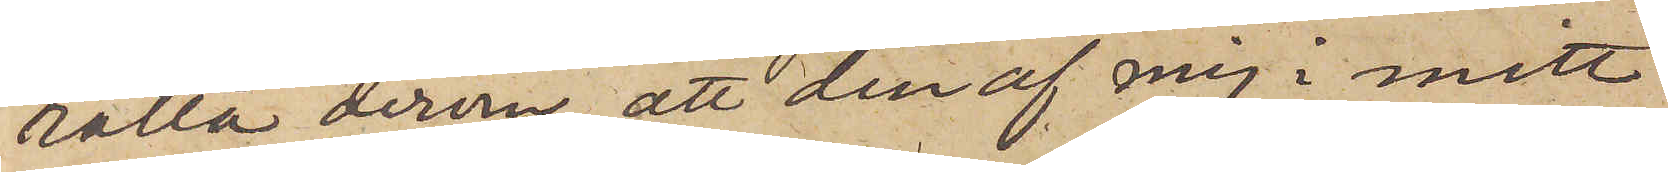rätta derom, att den af mig i mitt
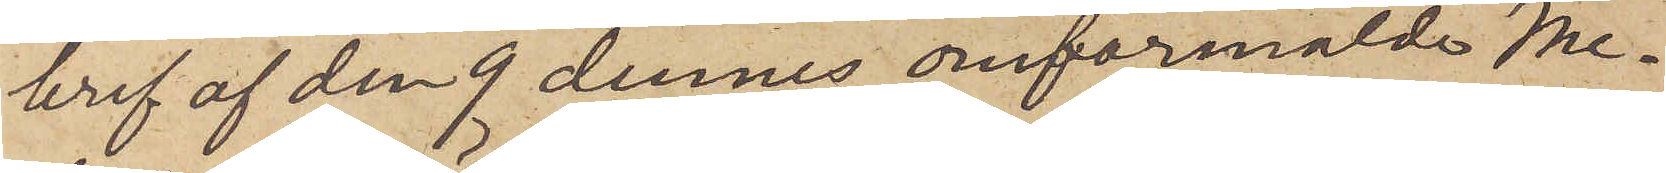bref af den 9 dennes omförmälde Me¬
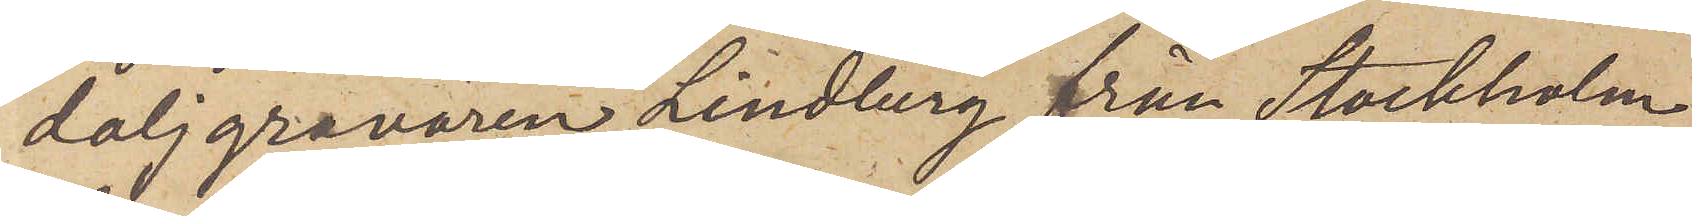daljgravören Lindberg från Stockholm
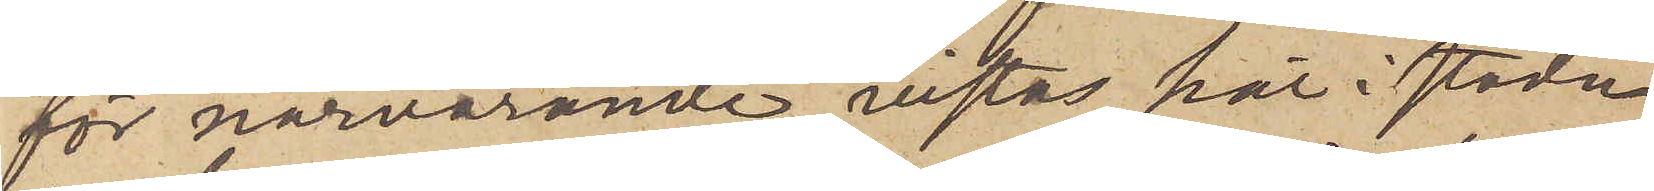för närvarande vistas här i staden
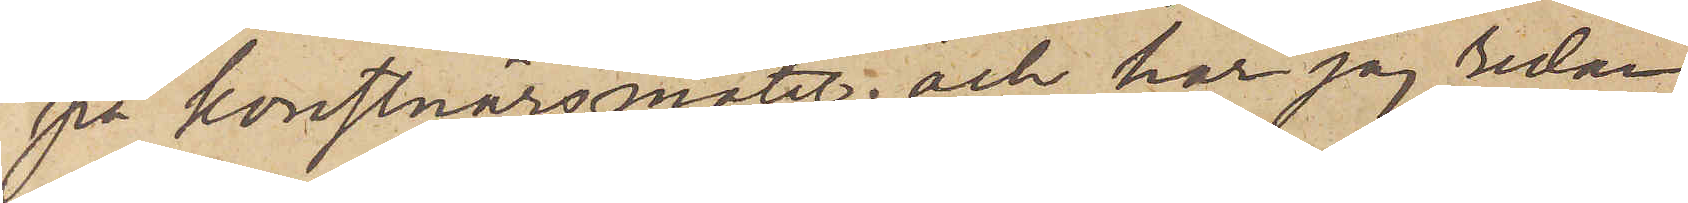på konstnärsmötet; och har jag redan
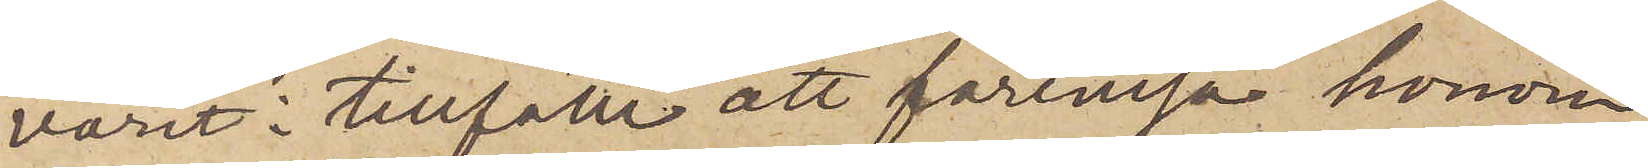varit i tillfälle att förevisa honom
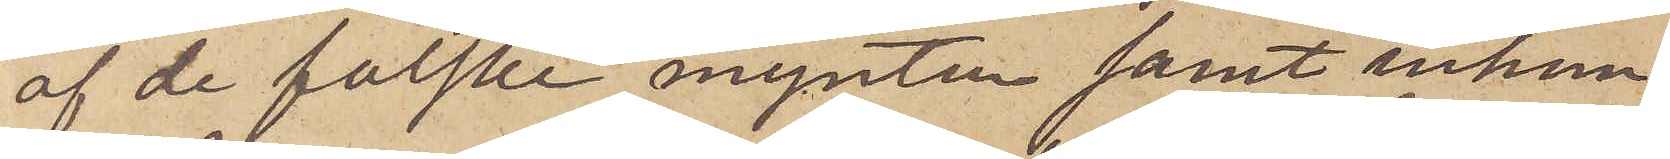af de falske mynten samt inhem¬
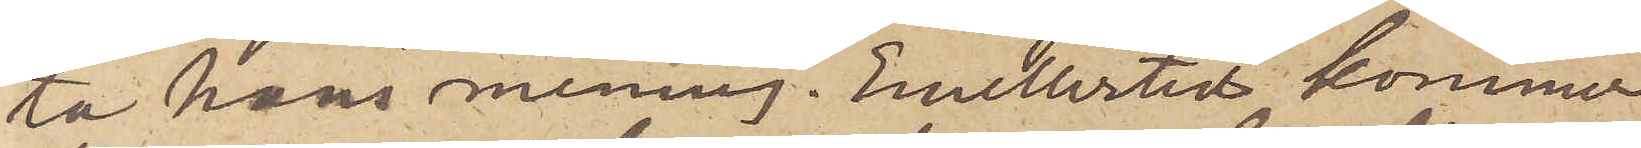ta hans mening. Emellertid  kommer
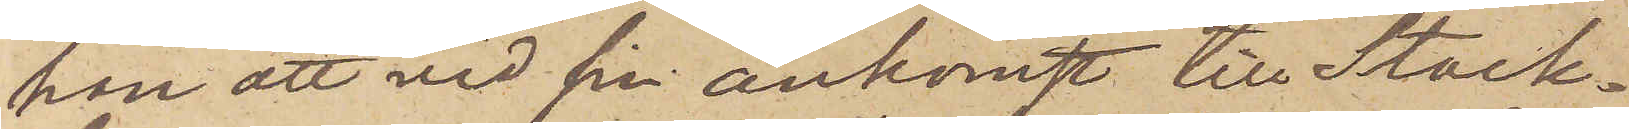han att vid sin ankomst till Stock¬
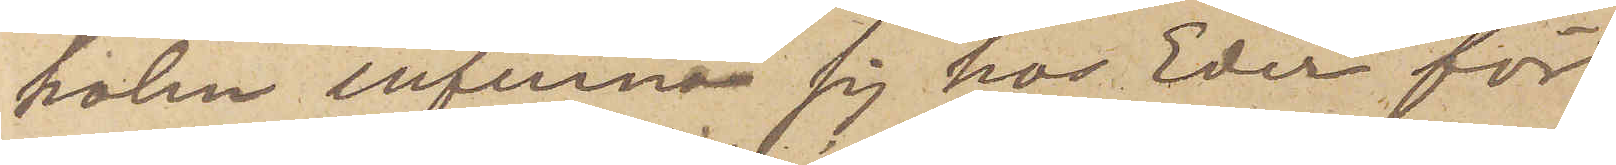holm infinna sig hos Eder för
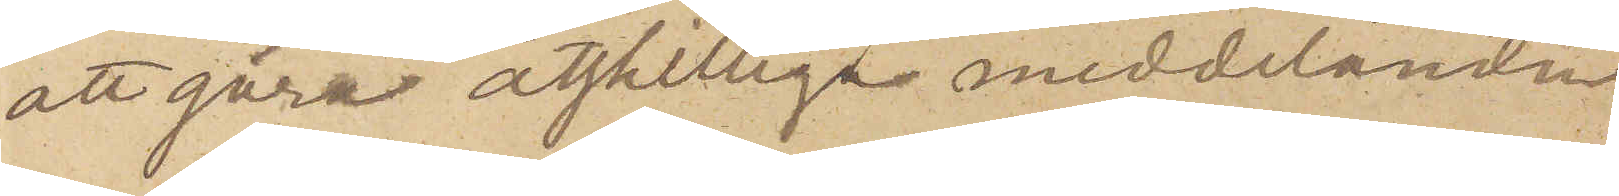att göra åtskilliga meddelanden
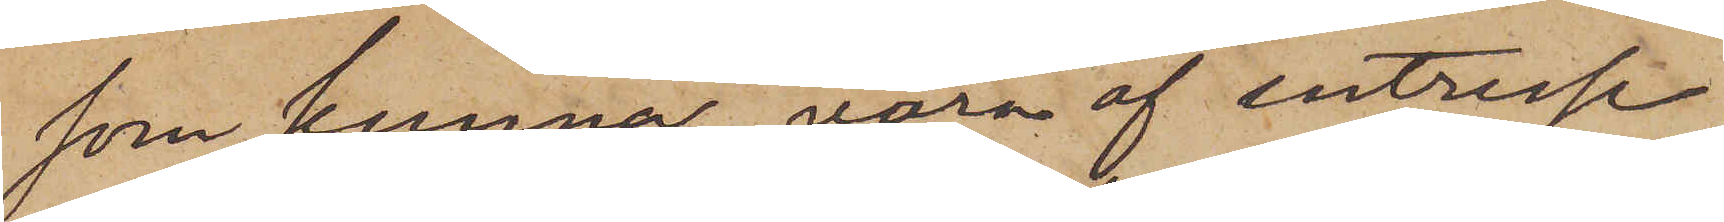som kunna vara af intresse
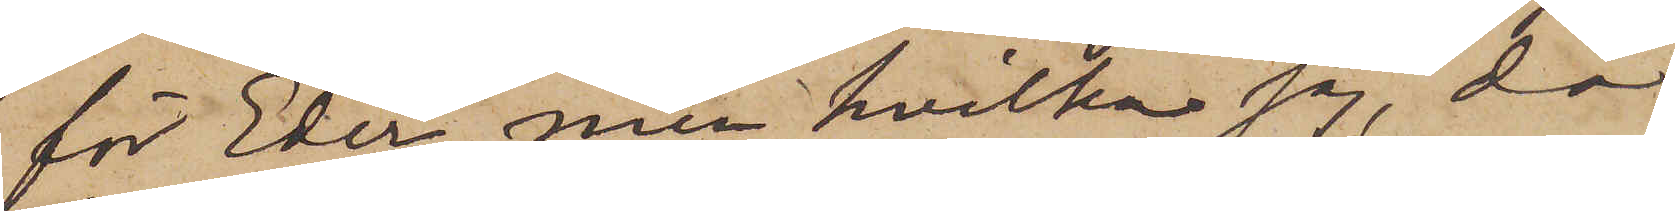för Eder, men hvilka jag, då
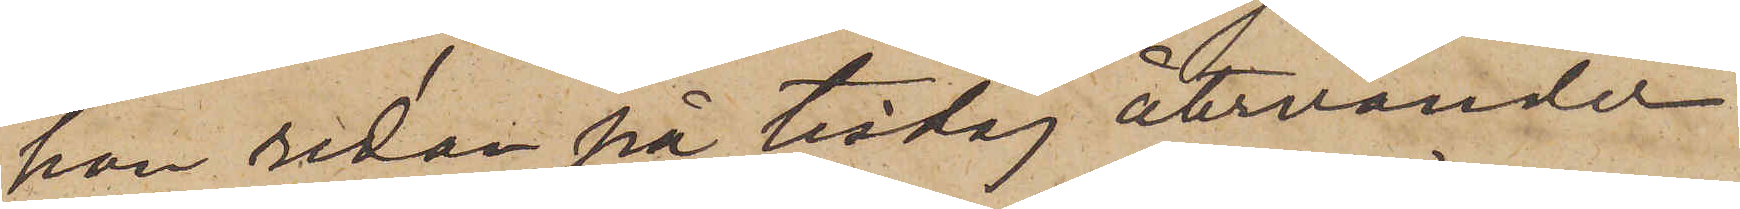han redan på tisdag återvänder
